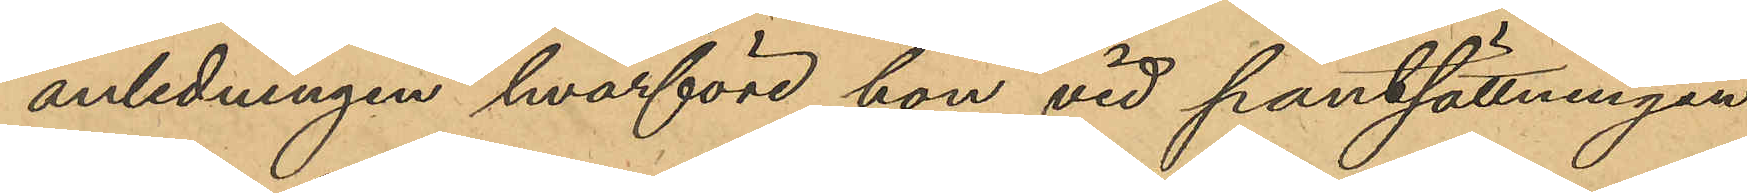anledningen hvarföre hon vid pantsättningen
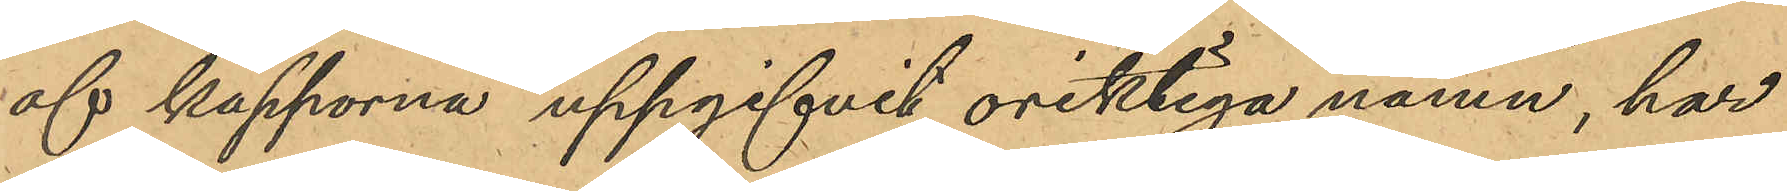af kapporna uppgifvit oriktiga namn, har
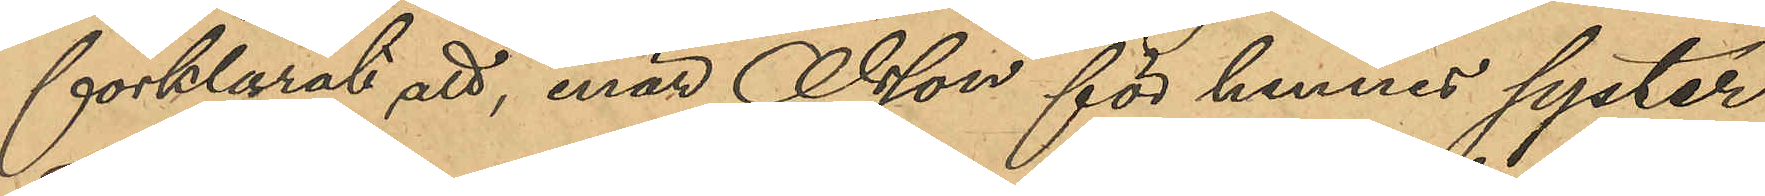förklarat att, enär Olsson för hennes syster
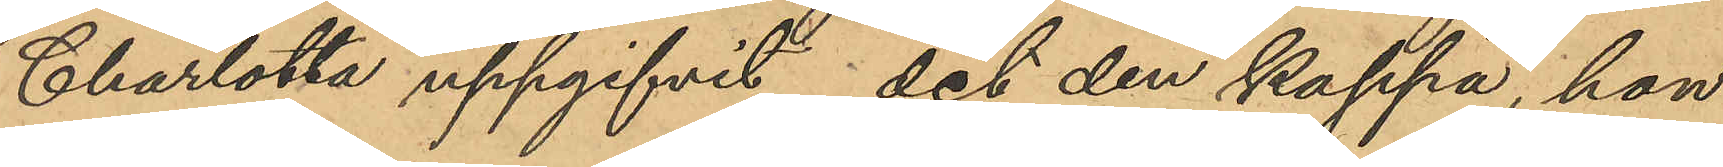Charlotte uppgifvit, det den kappa, hon
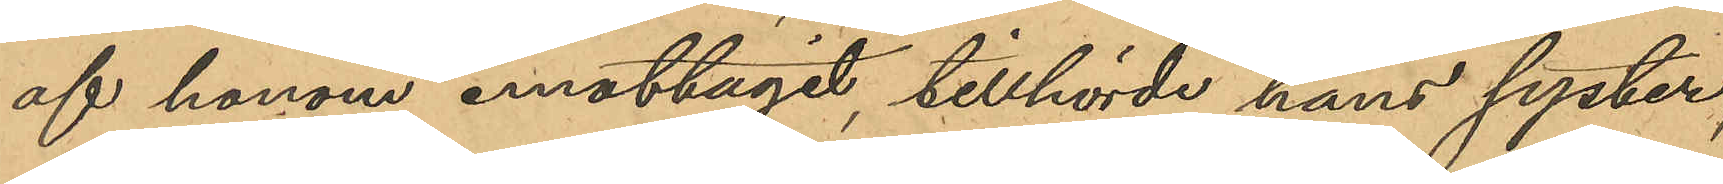af honom emottagit, tillhörde hans syster,
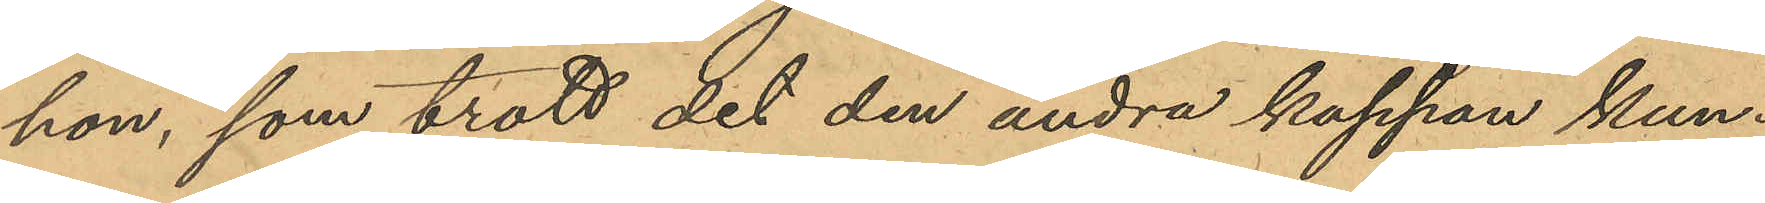hon, som trott det den andra kappan kun¬
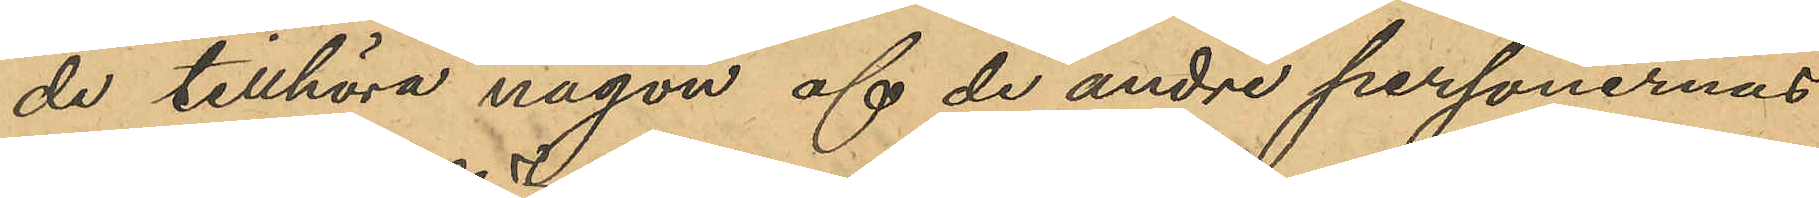de tillhöra någon af de andra personernas
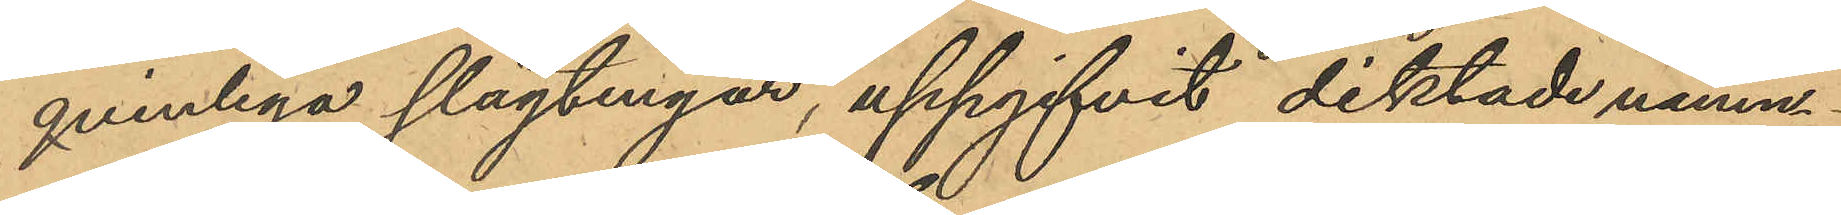qvinliga slägtingar, uppgifvit diktade namn.
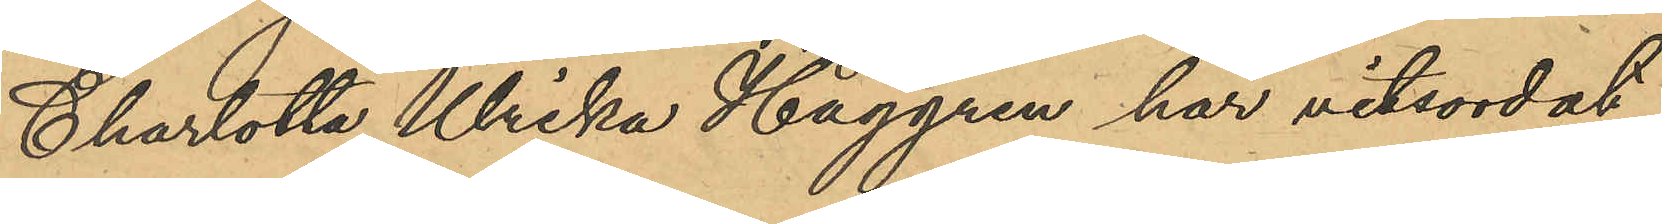Charlotta Ulrika Haggren har vitsordat
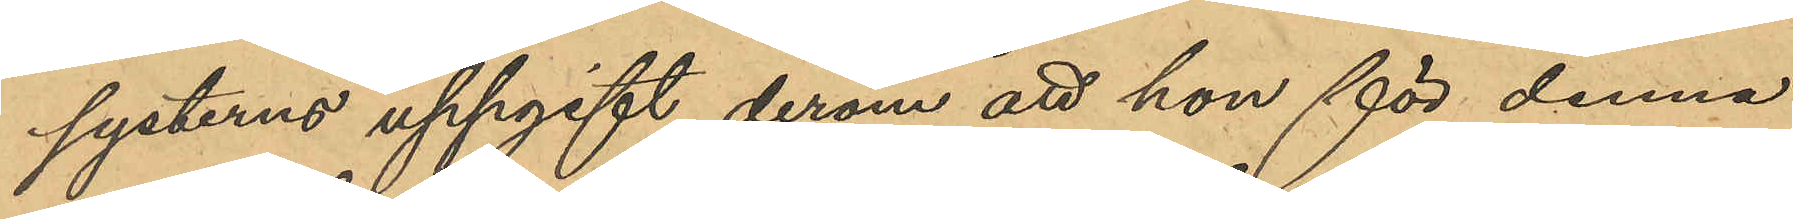systerns uppgift derom att hon för denna
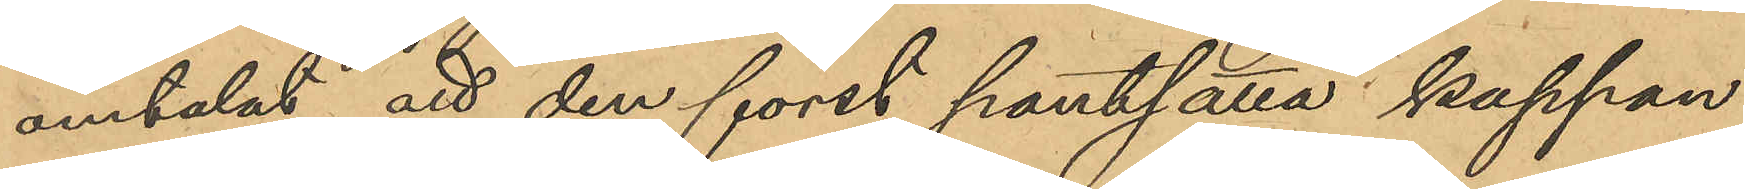omtalat att den först pantsatta kappan,
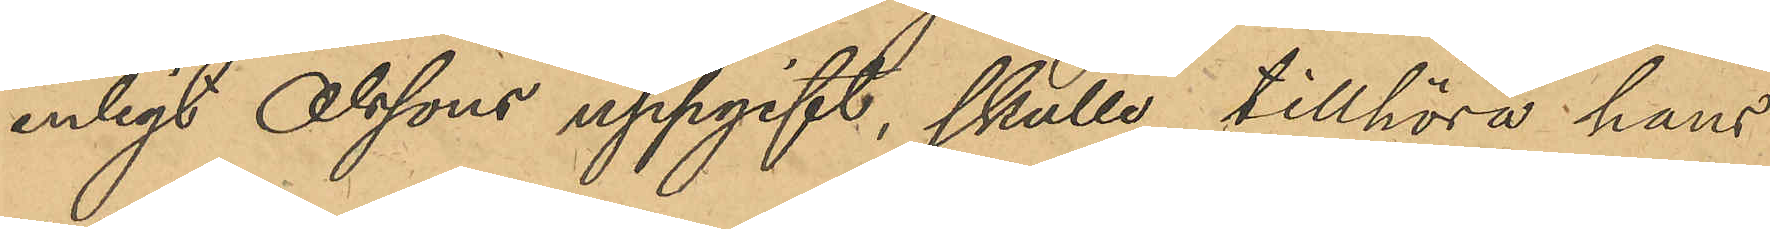enligt Olssons uppgift, skulle tillhöra hans 
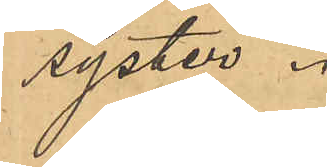syster.
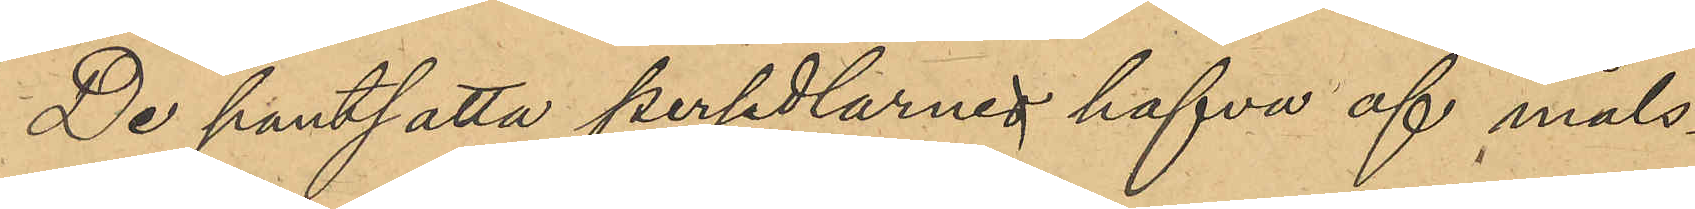De pantsatta persedlarna hafva af måls¬
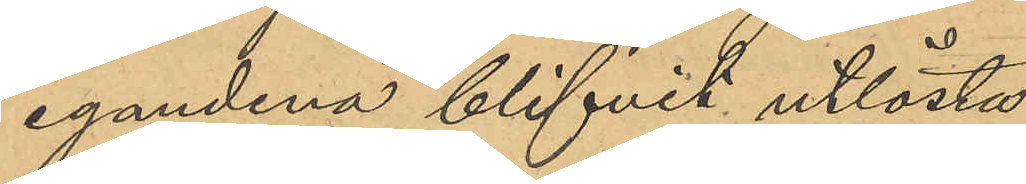egandena blifvit utlösta.
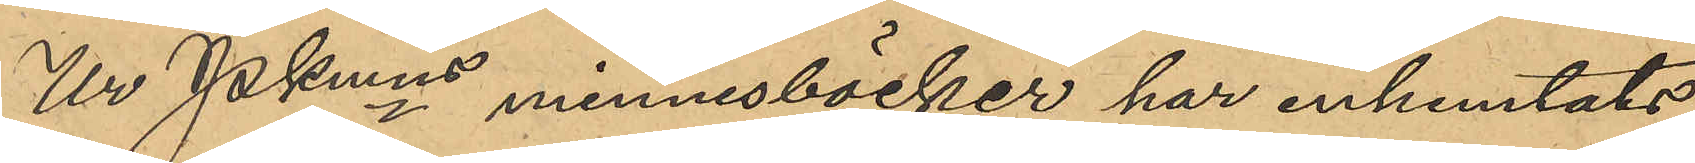Ur Pkmns minnesböcker har inhemtats
